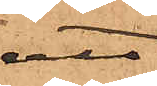att
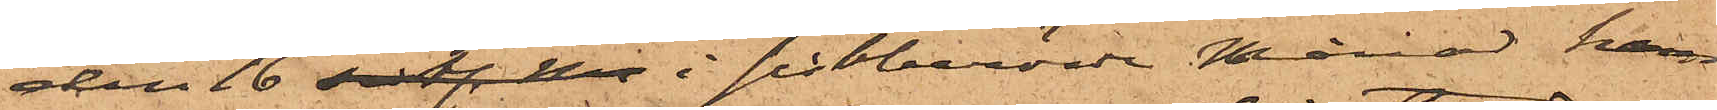den 16 sistl. M i sistberörde Månad, han
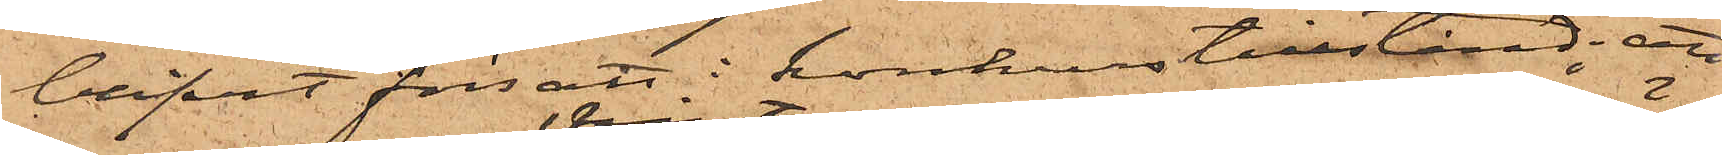blifvit försatt i konkurstillstånd; att
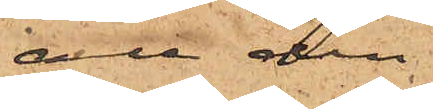all den
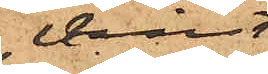vinst
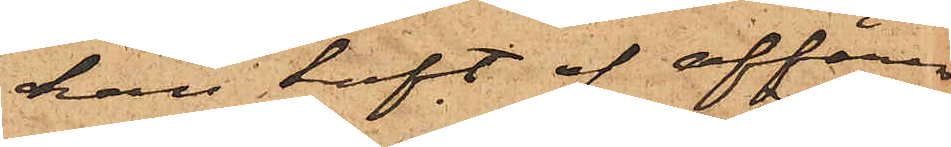han haft af affären
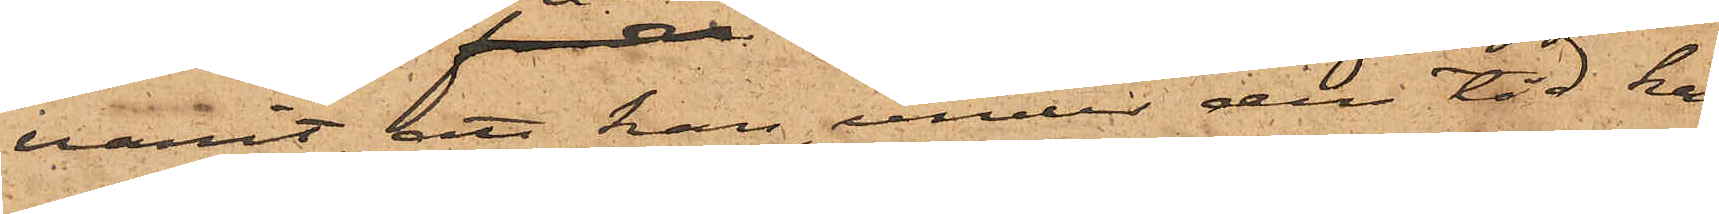varit, att han, under den tid han
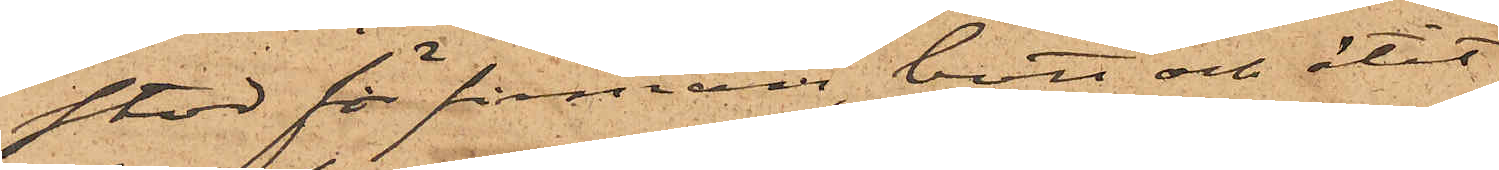stod för firman, bott och ätit
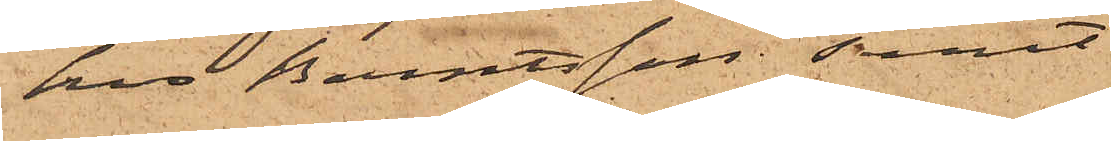hos Berntsson samt
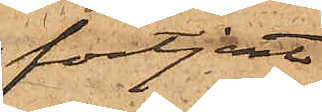förtjent
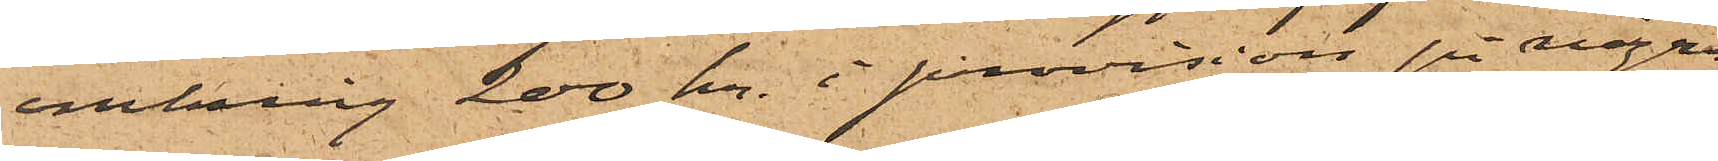omkring 200 kr. i provision på några
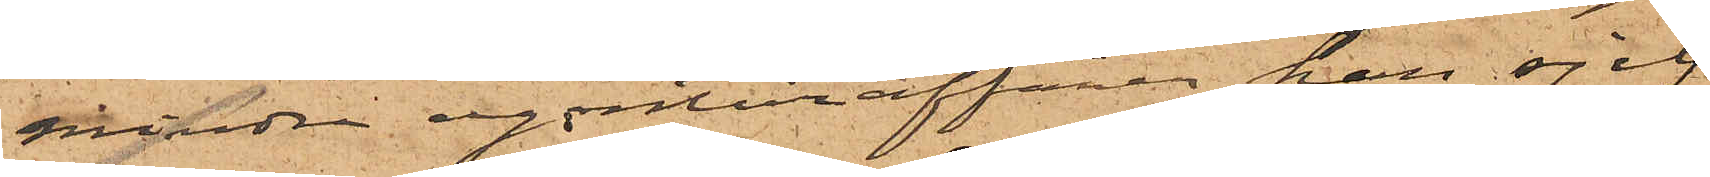mindre agenturaffärer han sjelf
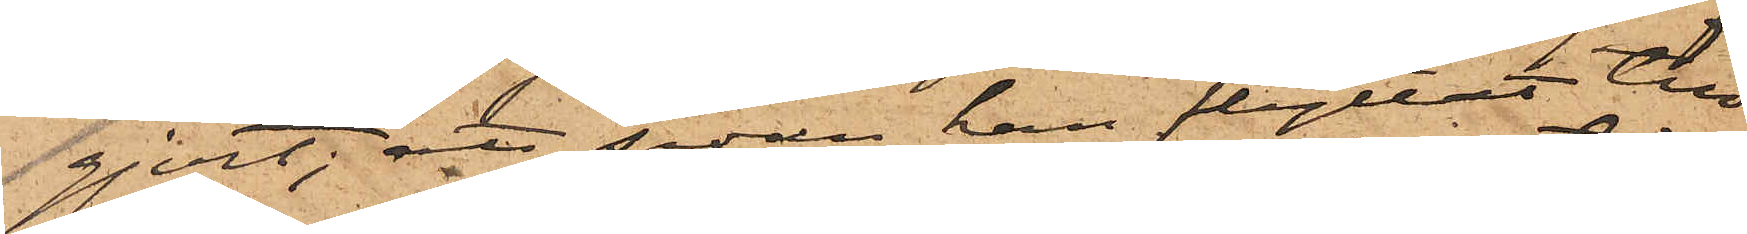gjort; att sedan han flyttat till
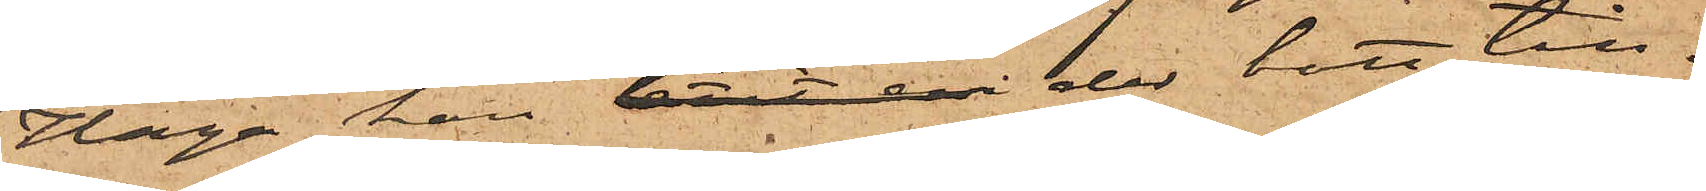Haga, han låtit en der bott till¬
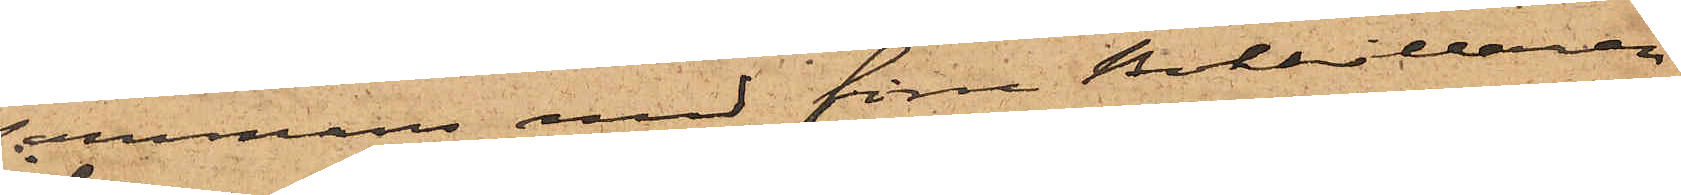sammans med förre Bokhållaren
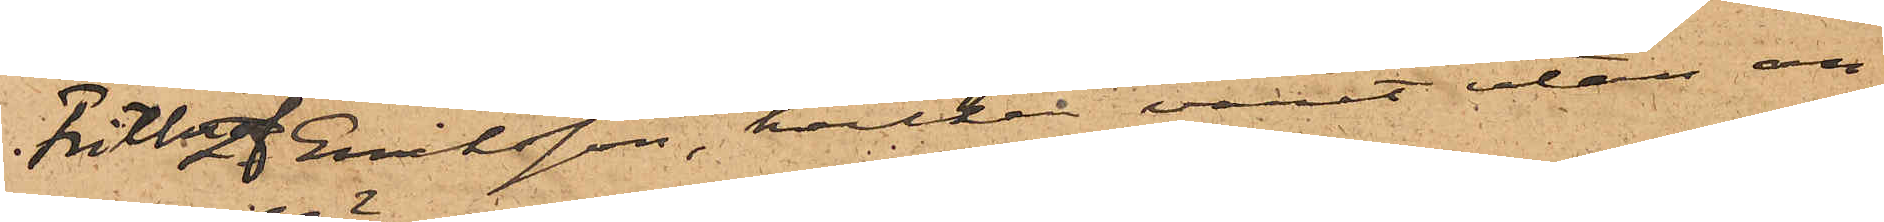Frithiof Eriksson, hvilken varit utan an¬
